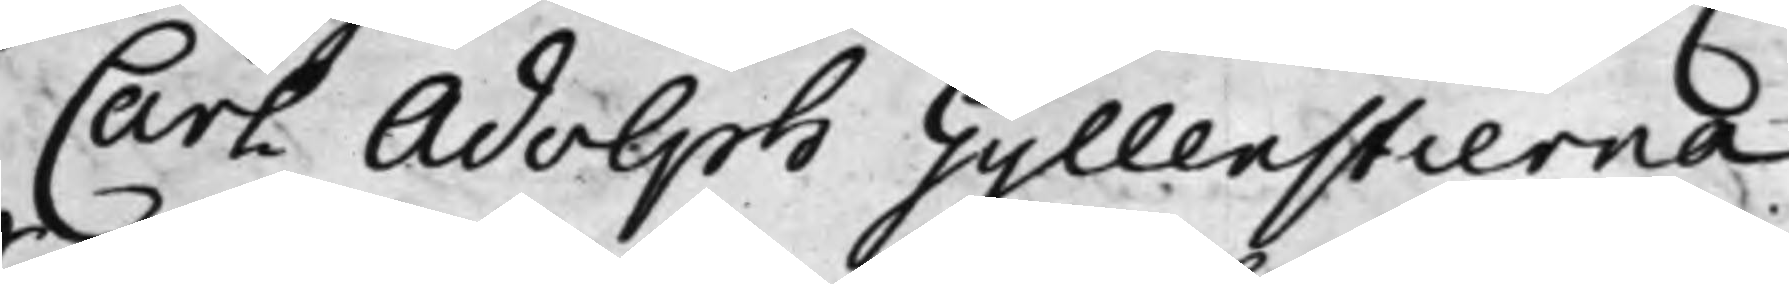Carl Adolph Gyllenstierna.
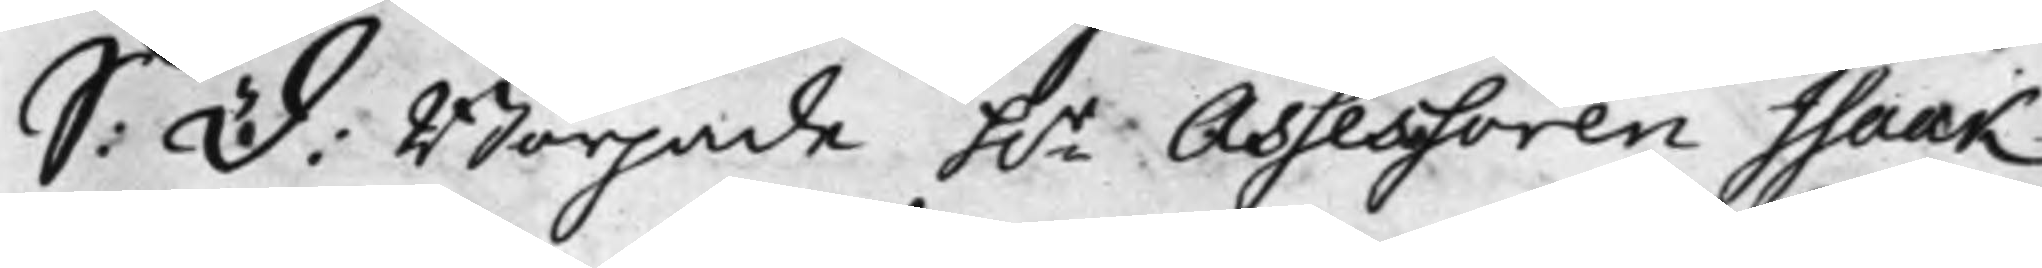S: D: Började h.r Assessoren Isaak
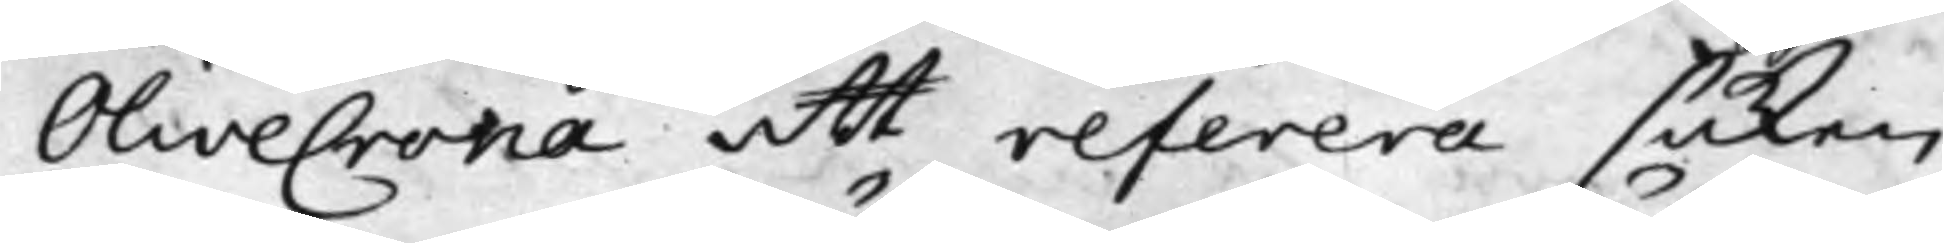OliveCrona att referera saken
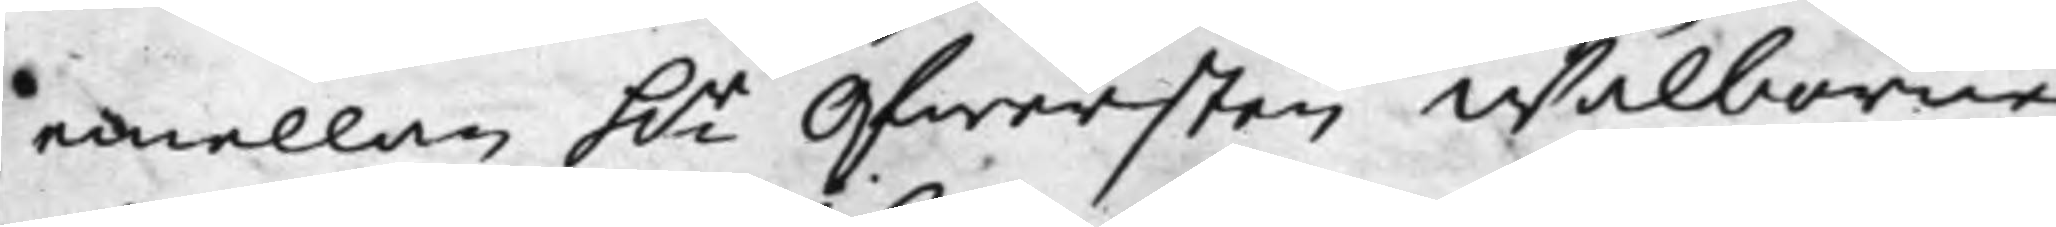emellan h.r Öfwersten Wälborne
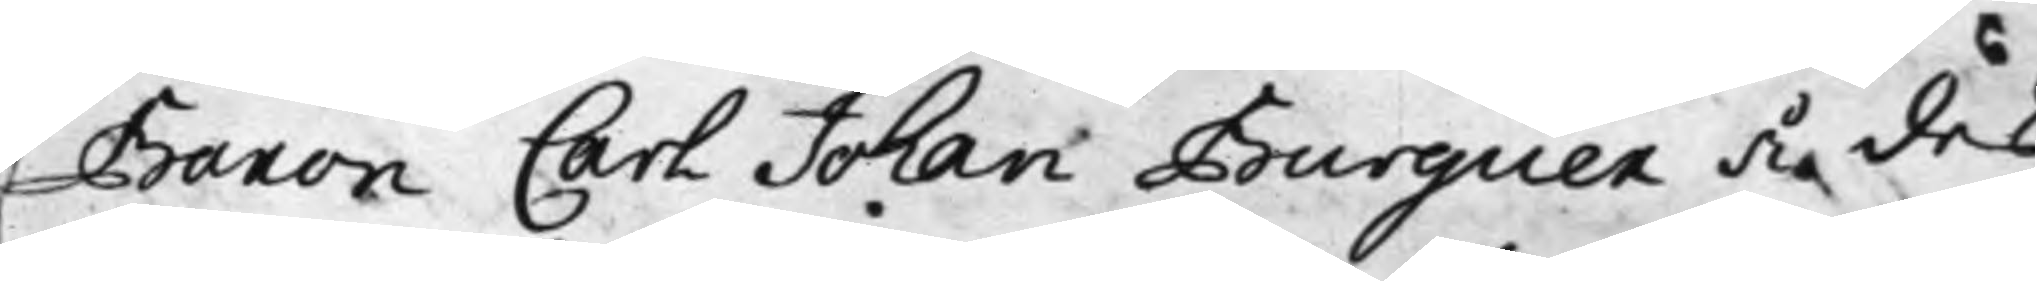Baron Carl Johan Burguer å des
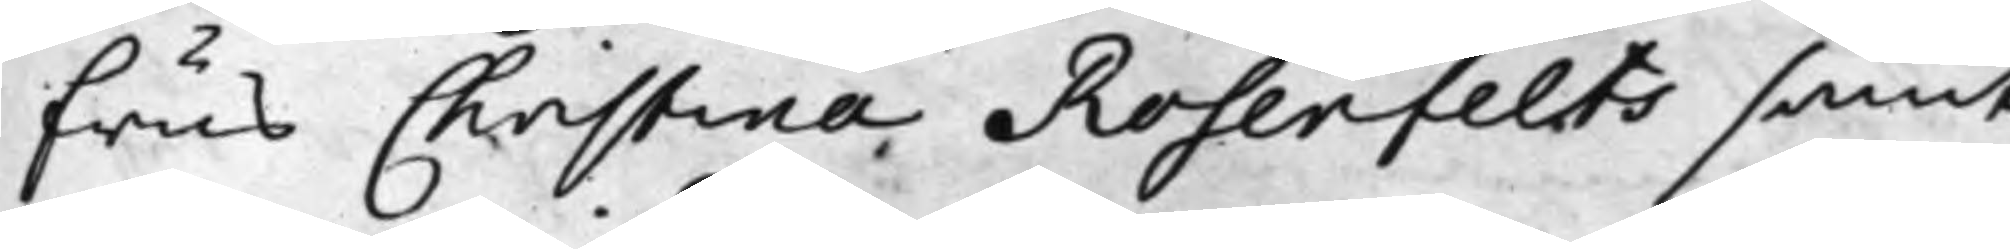frus Christina Rosenfelts samt
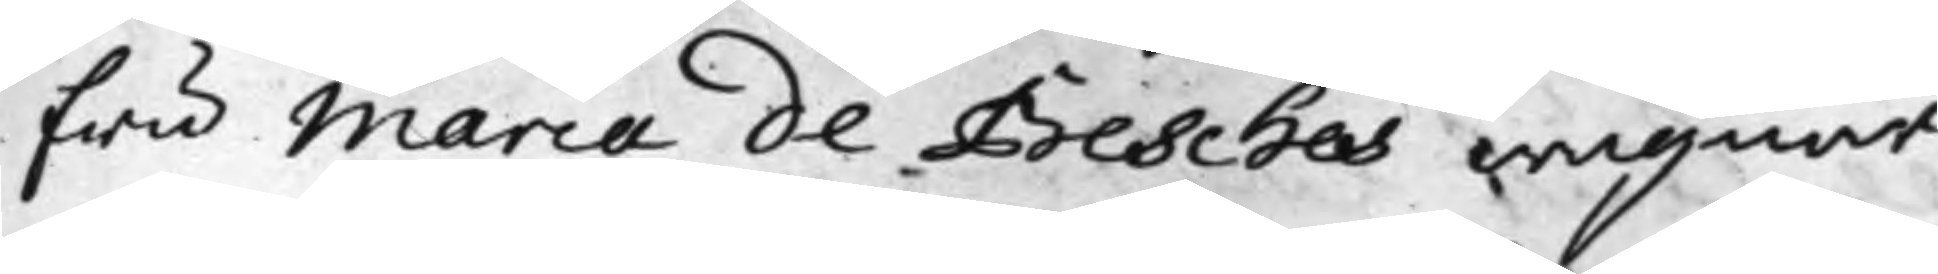fru Maria de Besches wägnar,
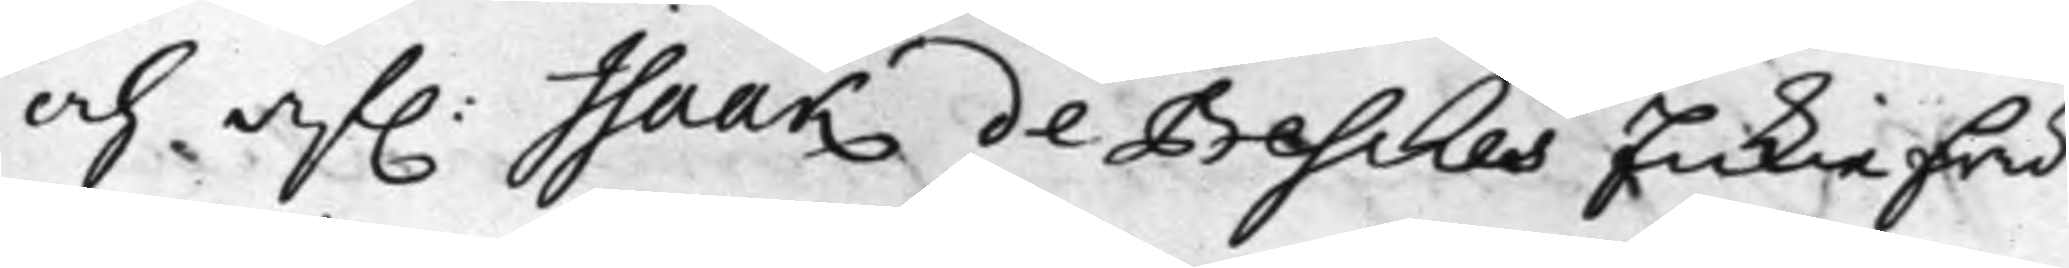och af. Isaak de Besches Enkiefru
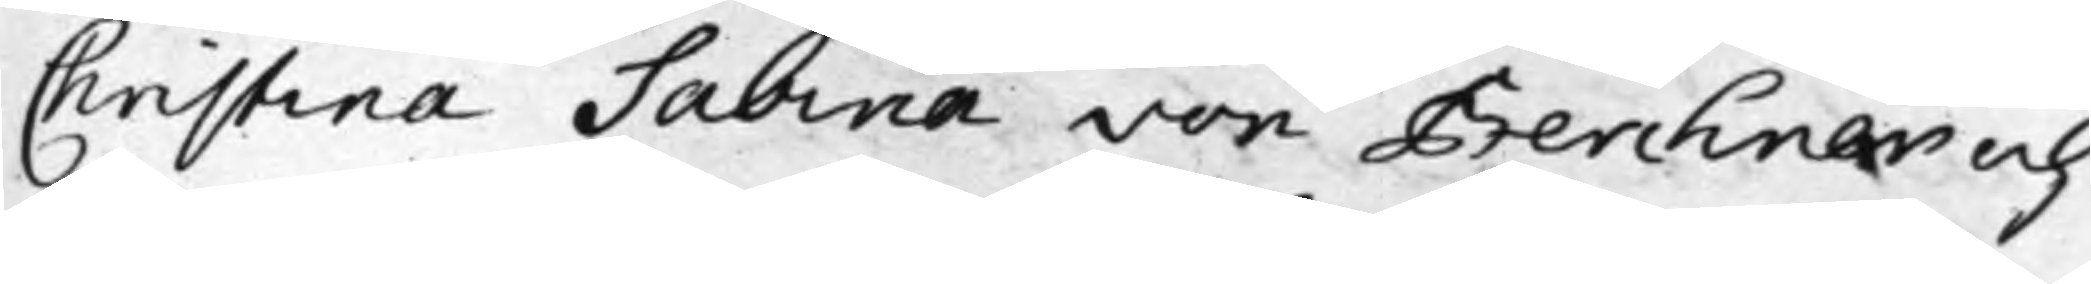Christina Sabina von Berchner och
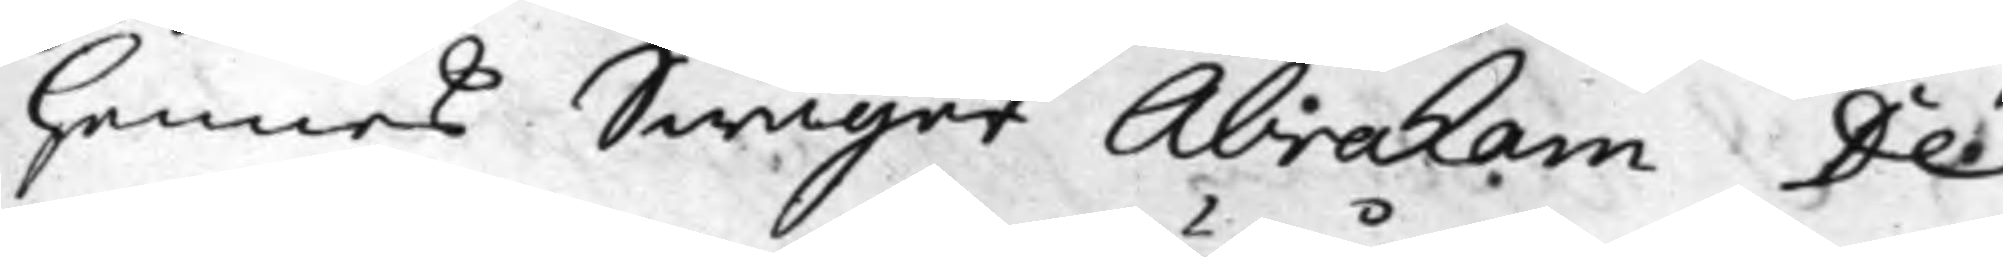hennes Swåger Abraham De
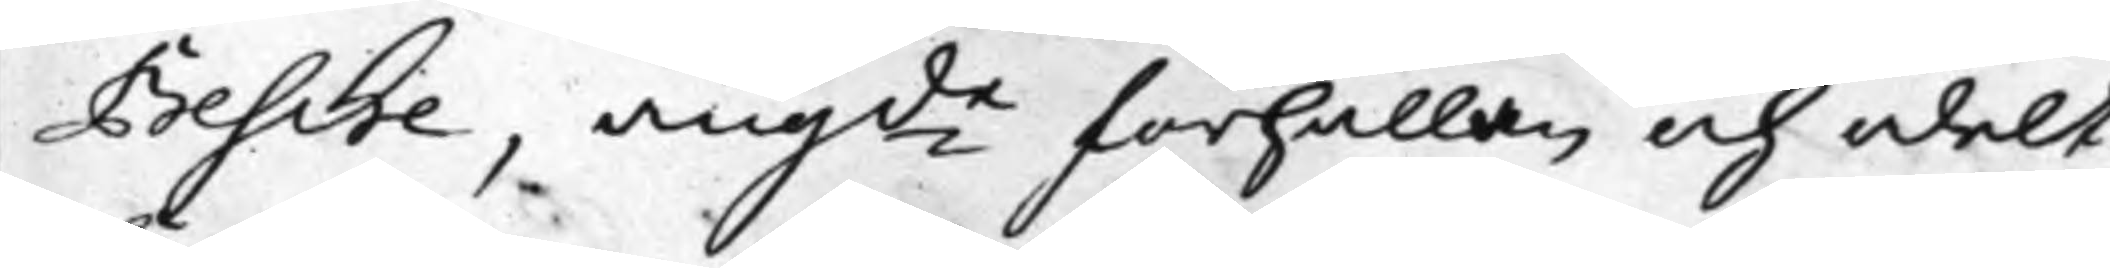Besche, angde förhållan och odelt
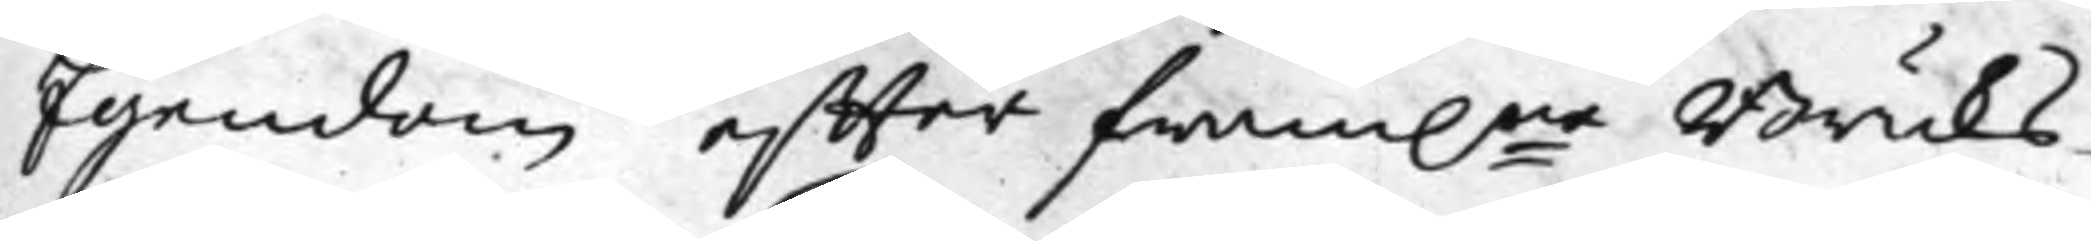Egendom effter fram.ne Bruks¬
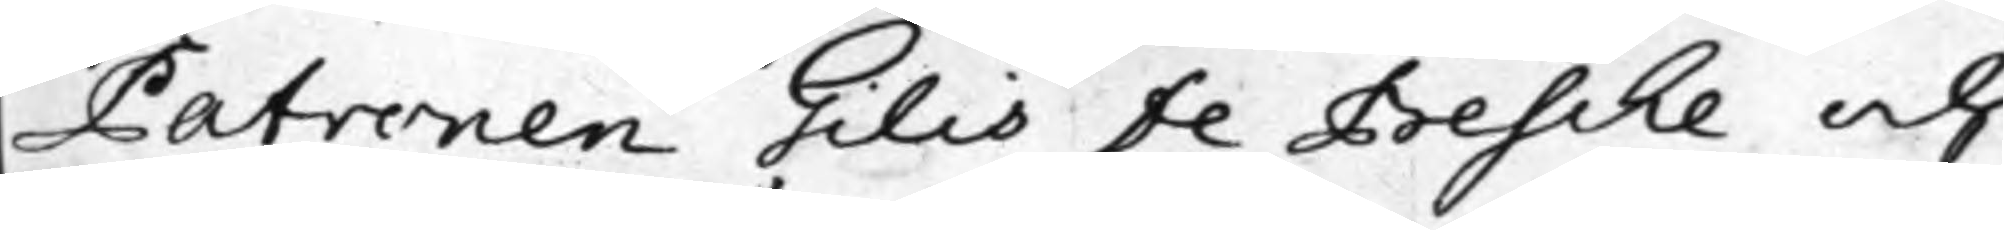Patronen Gilis de Besche och
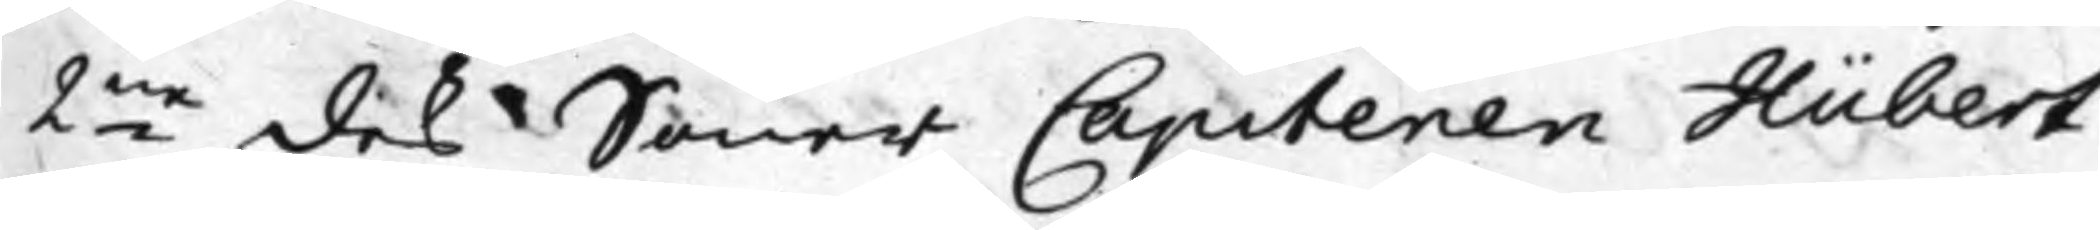2ne des Söner Capitenen Hübert
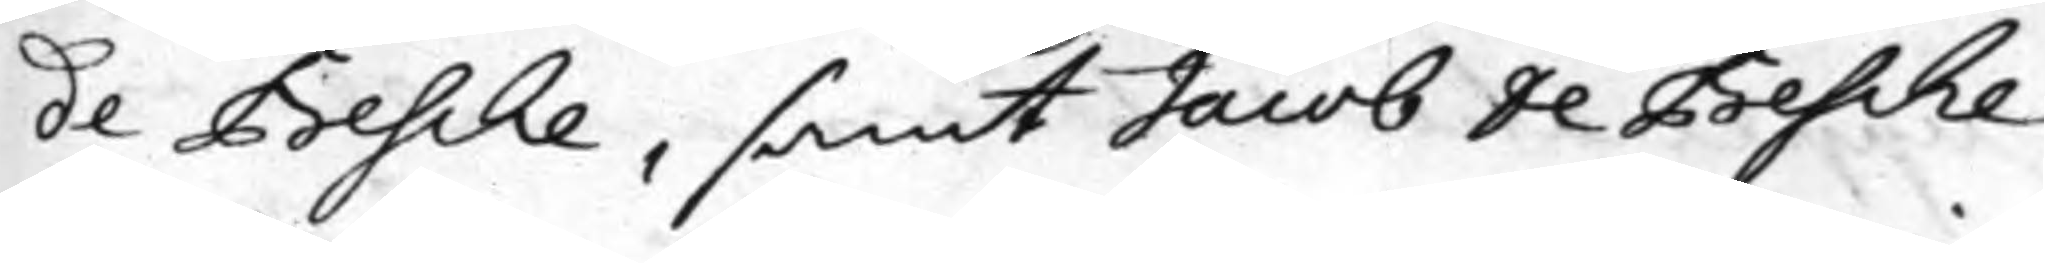de Besche, samt Jacob de Besche
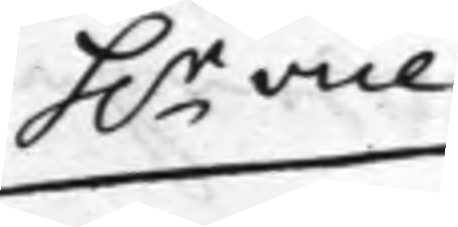h.r Vice
